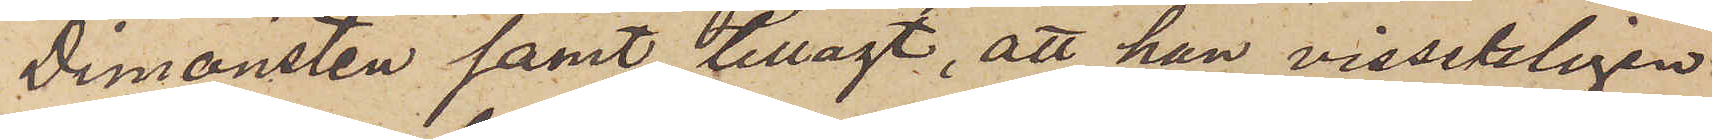Dimonsten samt tillagt, att han visserligen
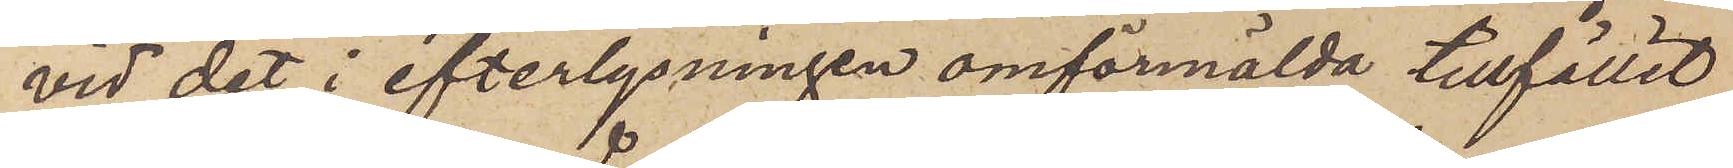vid det i efterlysningen omförmälda tillfället
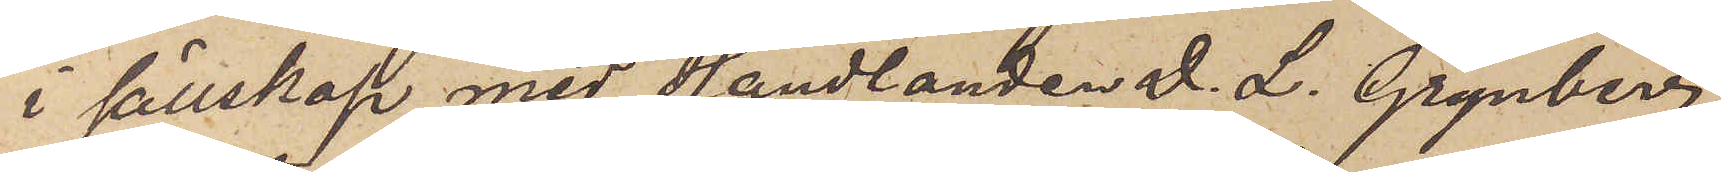i sällskap med Handlanden J. L. Grynberg
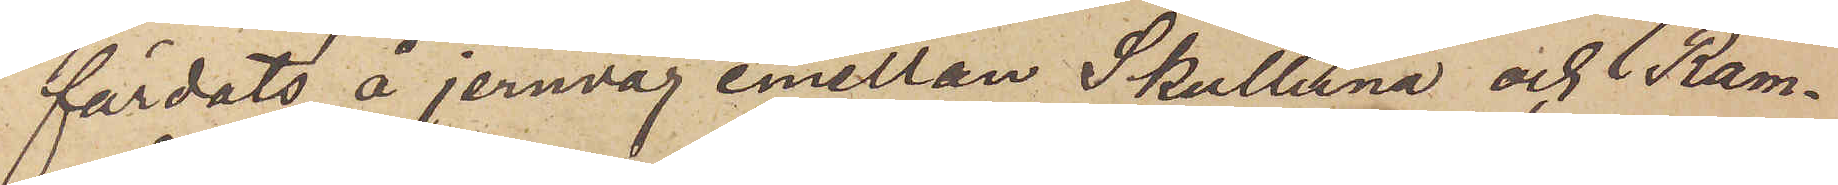färdats å jernväg emellan Skultuna och Ram¬
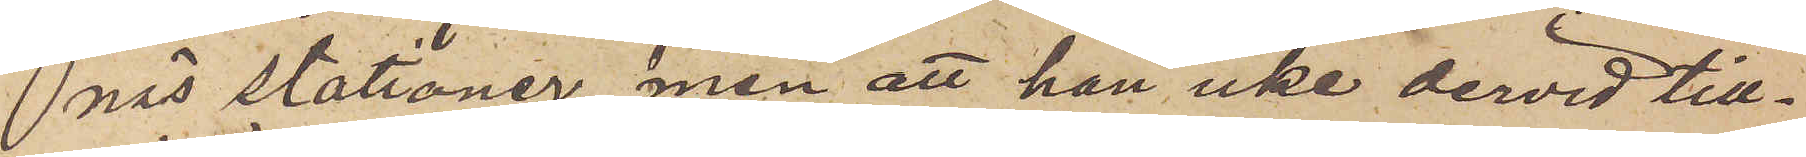näs stationer, men att han icke dervid till¬
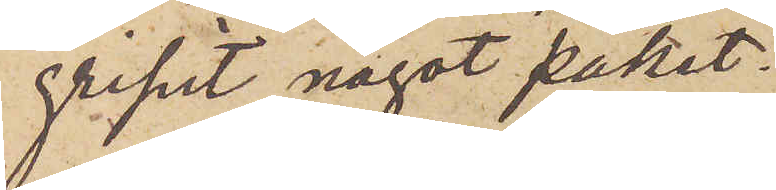gripit något paket;
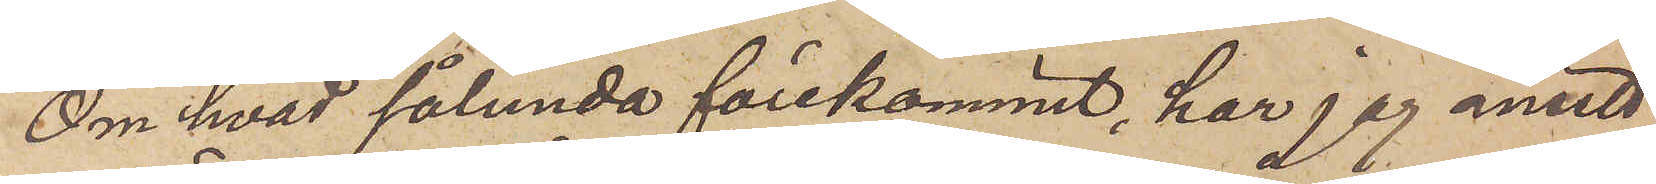Om hvad sålunda förekommit, har jag ansett
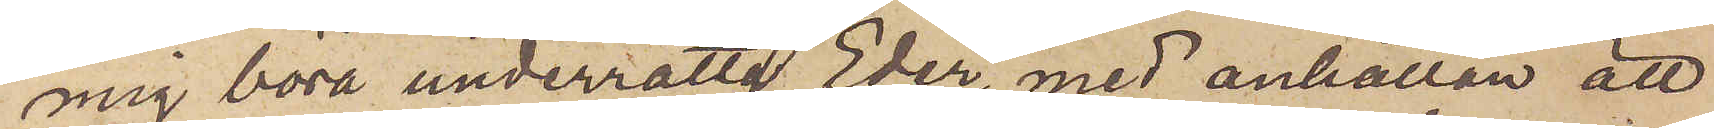mig böra underrätta Eder, med anhållan att
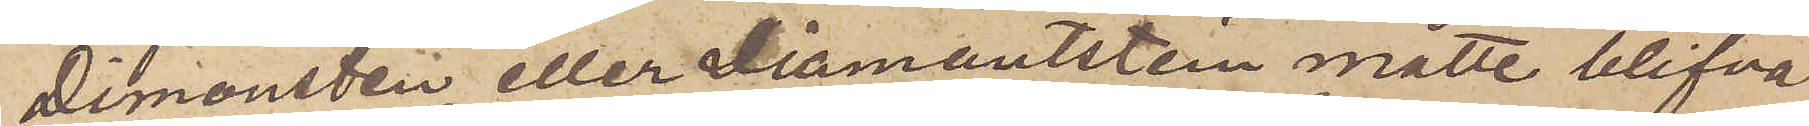Dimonsten eller Diamantstein måtte blifva
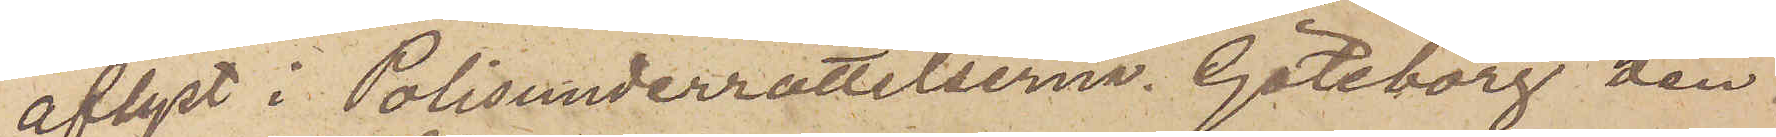aflyst i Polisunderrättelserna. Göteborg den
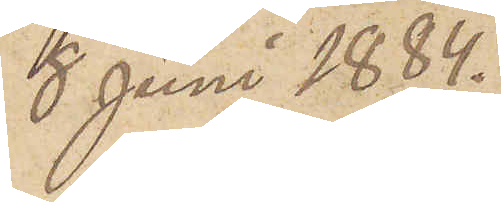8 Juni 1884.
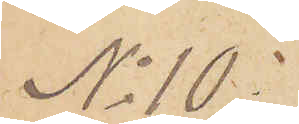No 10:
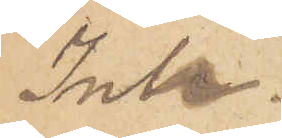Ink.
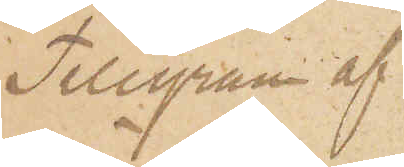Telegram af¬
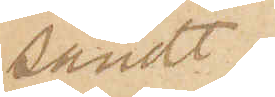sändt.
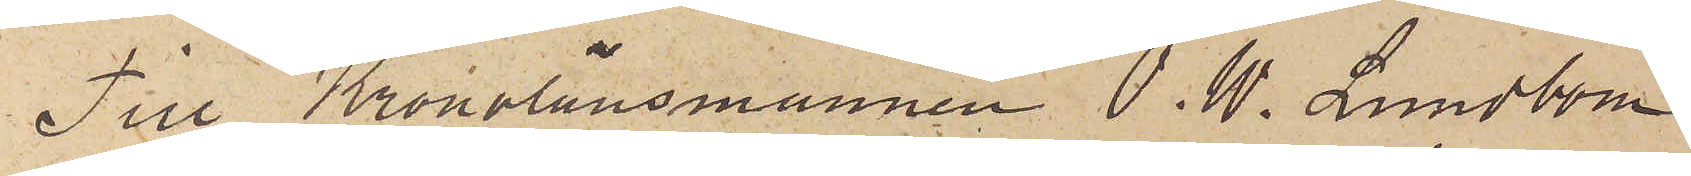Till Kronolänsmannen P. W. Lundbom
